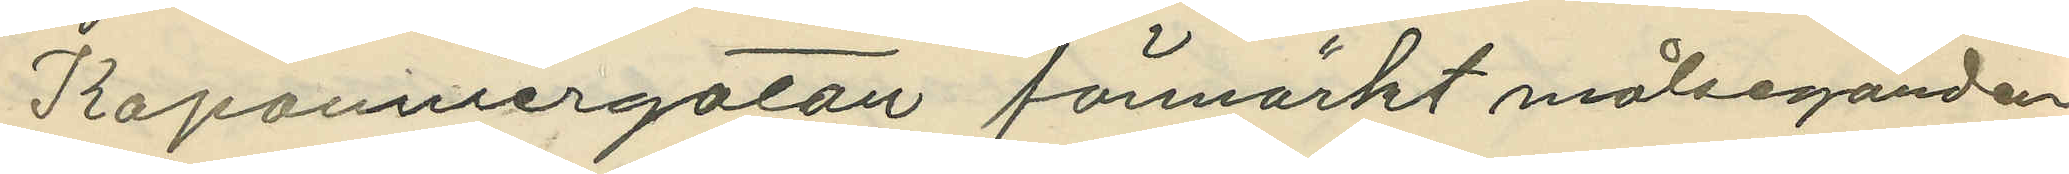Kaponniergatan förmärkt målseganden
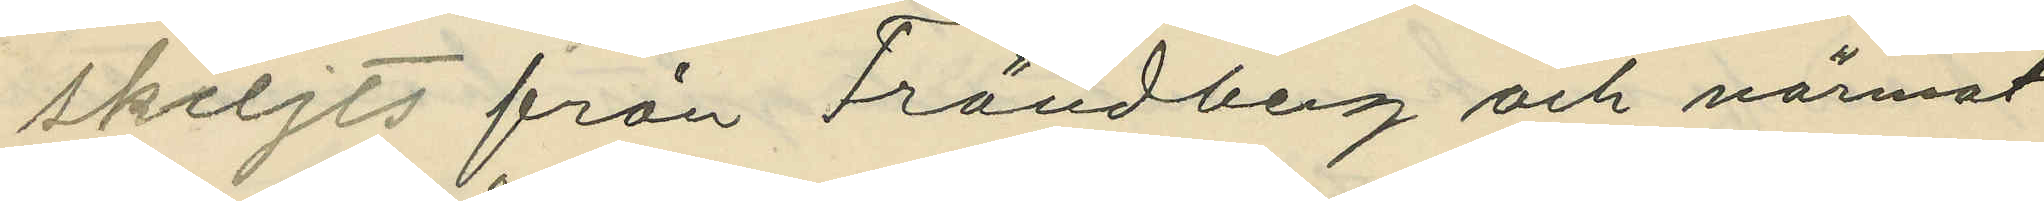skiljts från Frändberg och närmat
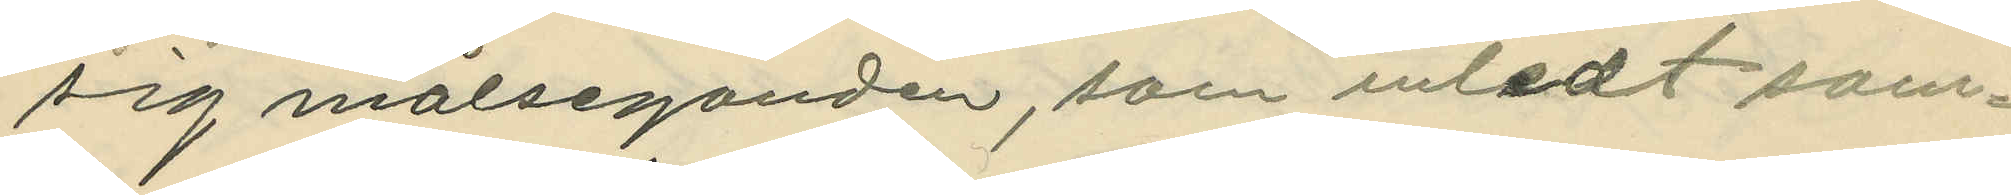sig målseganden, som inledt sam¬
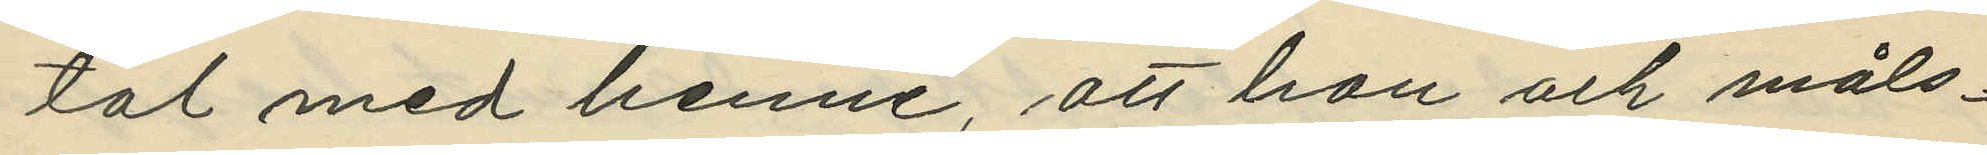tal med henne, att hon och måls¬
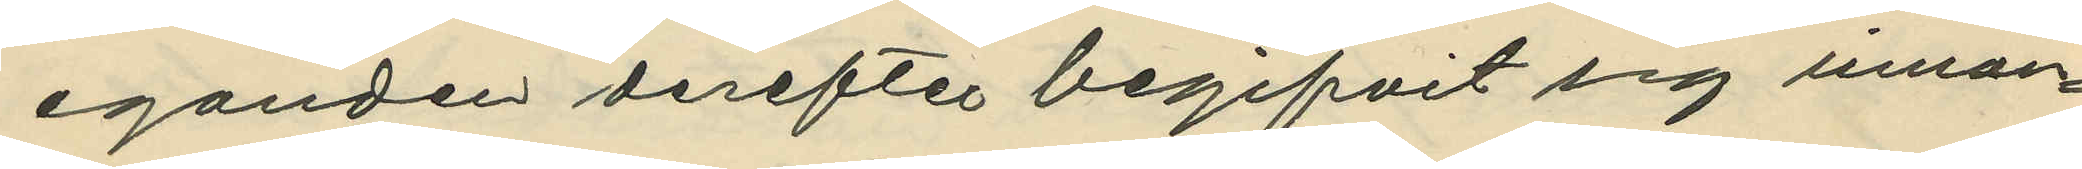eganden derefter begifvit sig innan¬
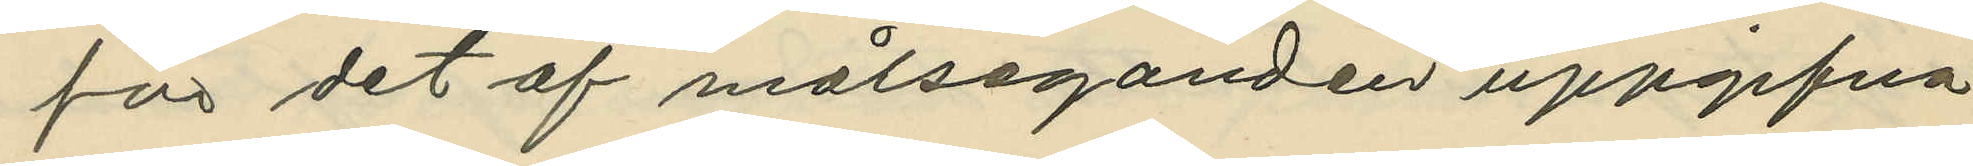för det af målseganden uppgifna
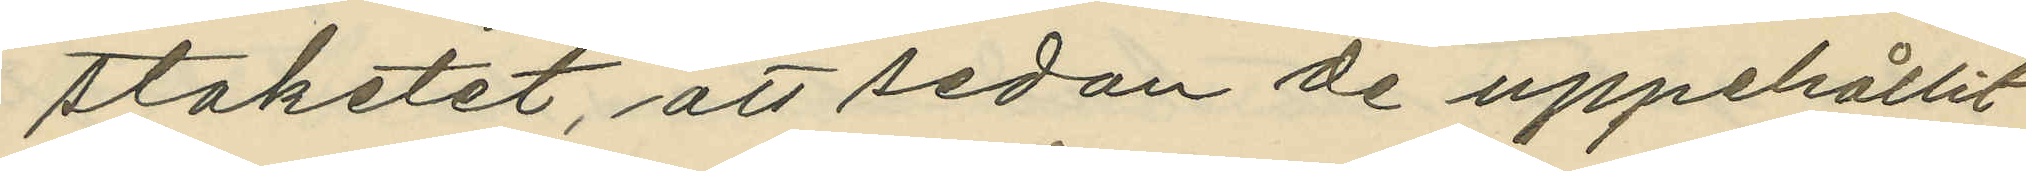staketet, att sedan de uppehållit
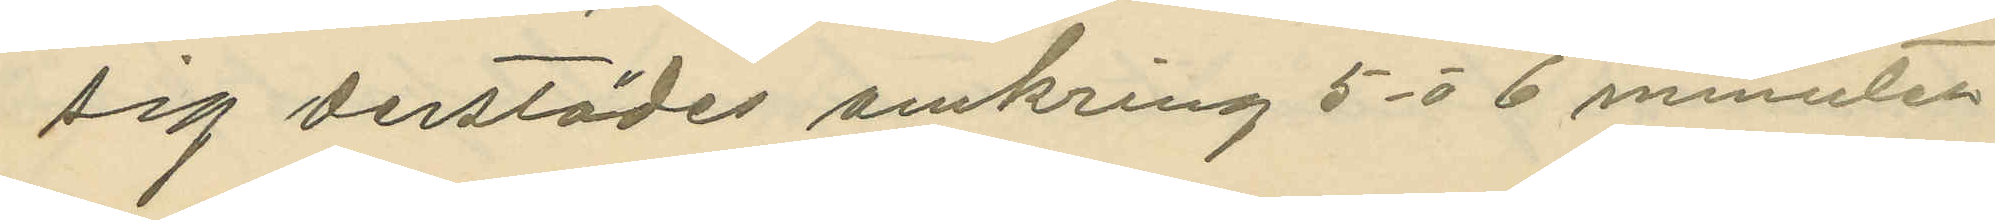sig derstädes omkring 5 à 6 minuter
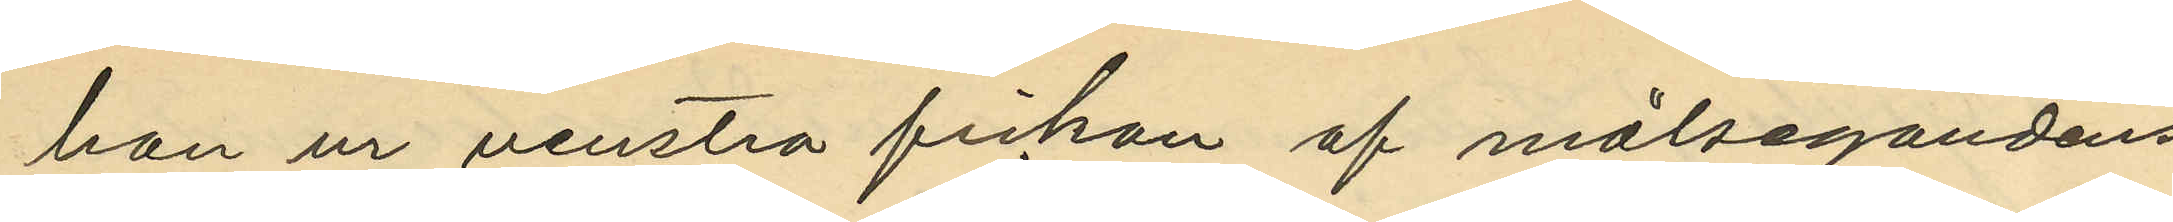hon ur venstra fickan af målsegandens
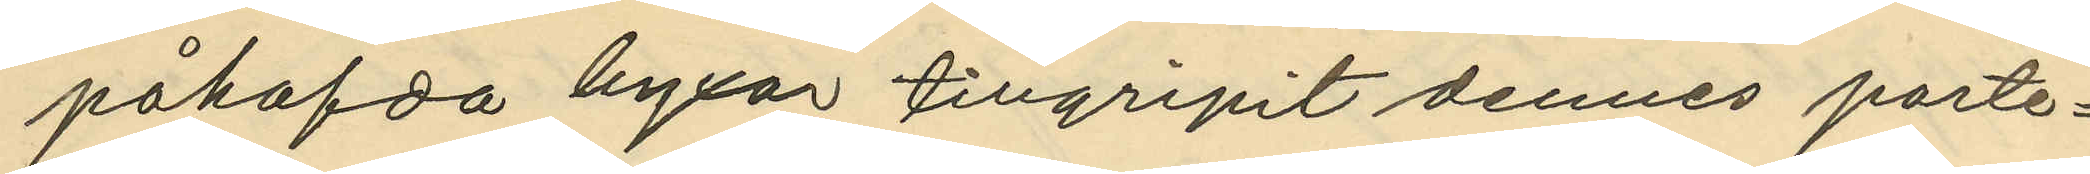påhafda byxor tillgripit dennes porte¬
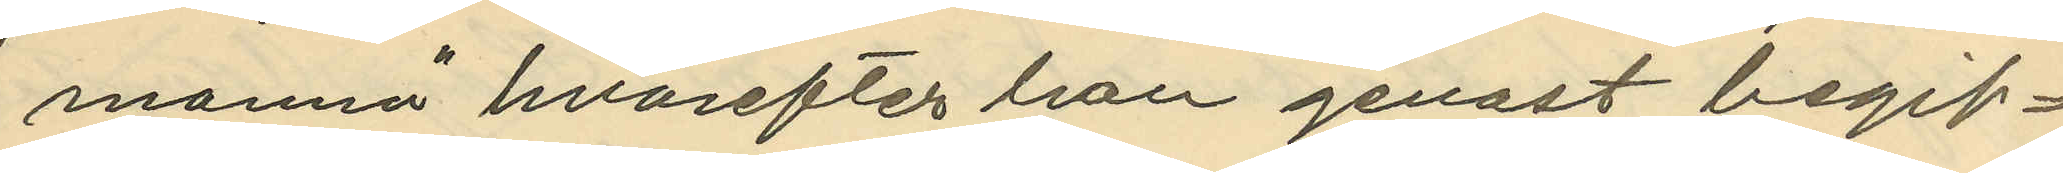monnä hvarefter hon genast begif¬
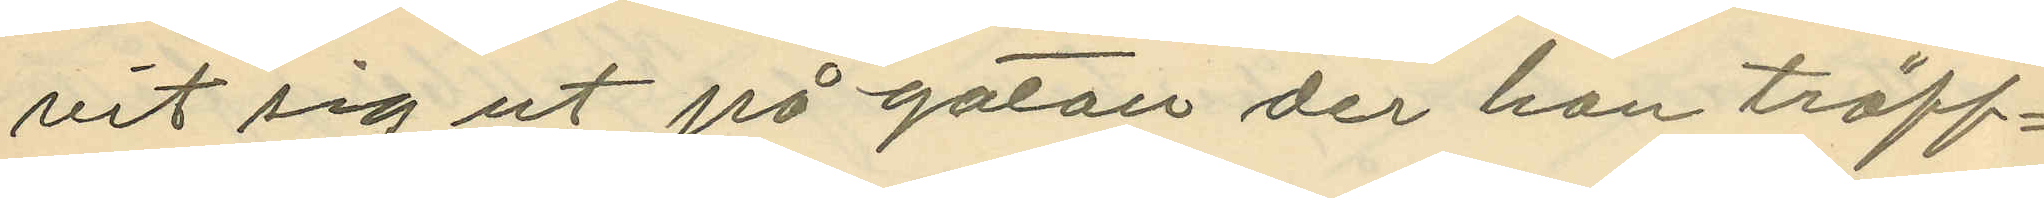vit sig ut på gatan der hon träff¬
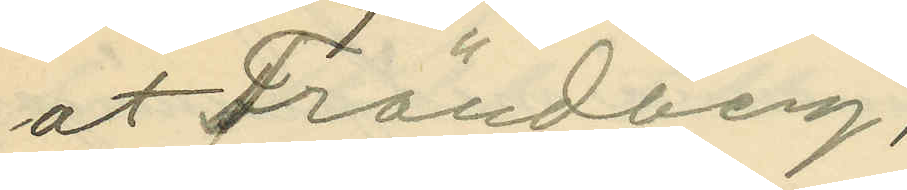at Frändberg;
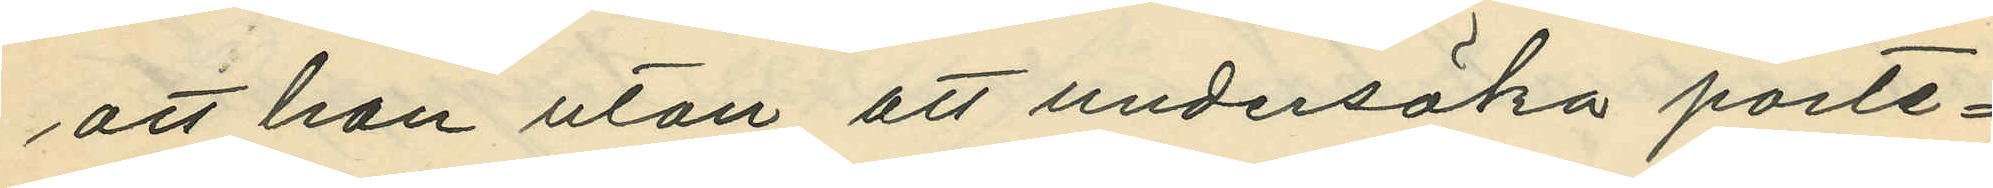att hon utan att undersöka porte¬
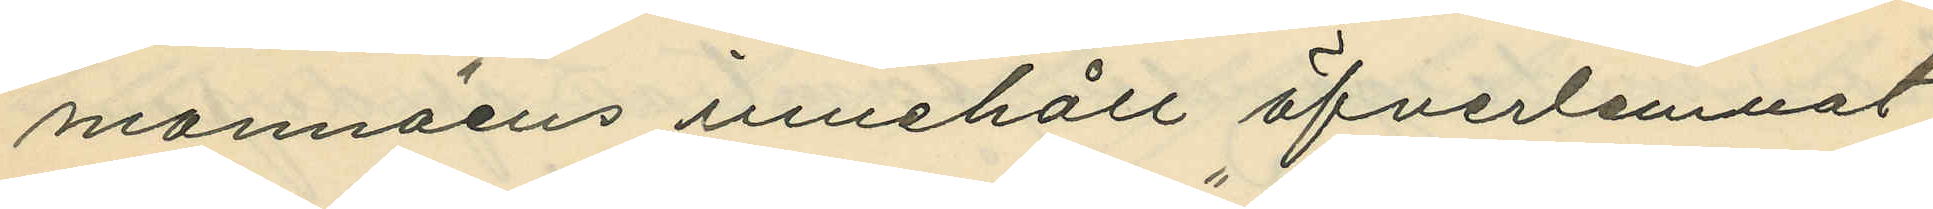monnäens innehåll öfverlemnat
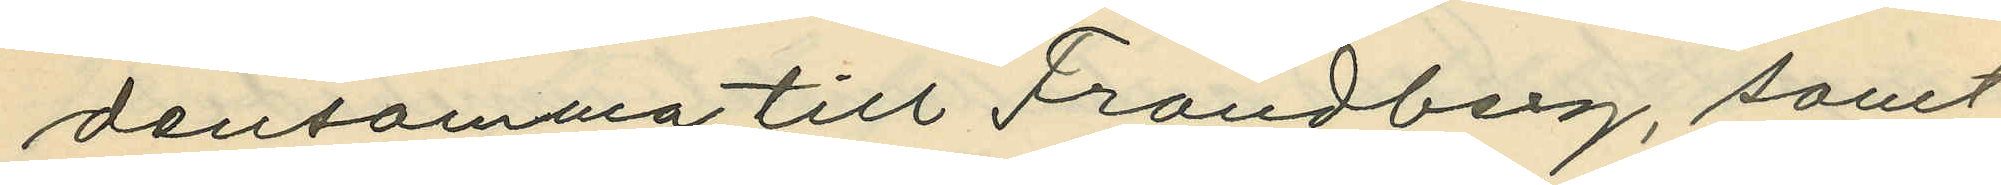densamma till Frändberg, samt
